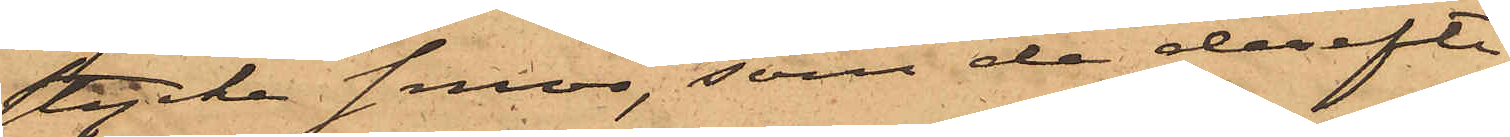stycke smör, som de derefter
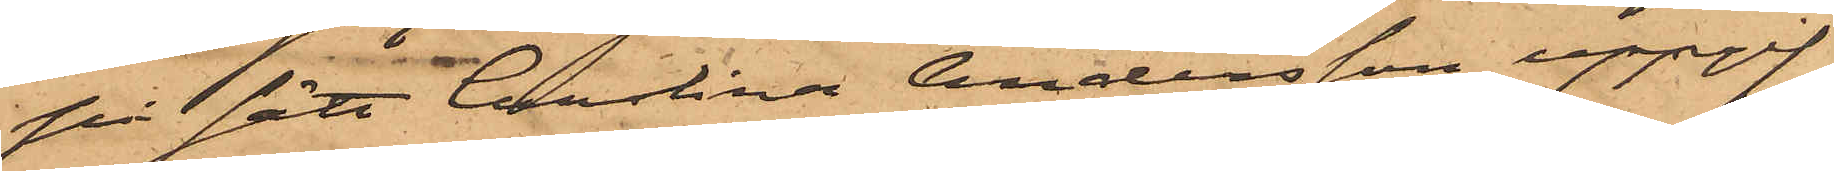på sätt Carolina Andersson uppgif¬
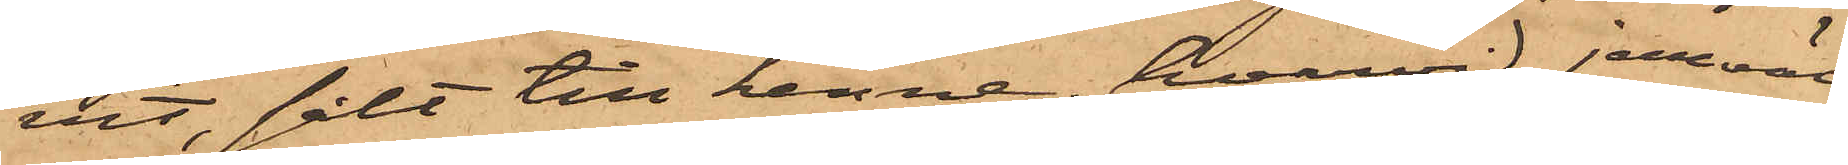vit, sålt till henne, hvarvid jemväl
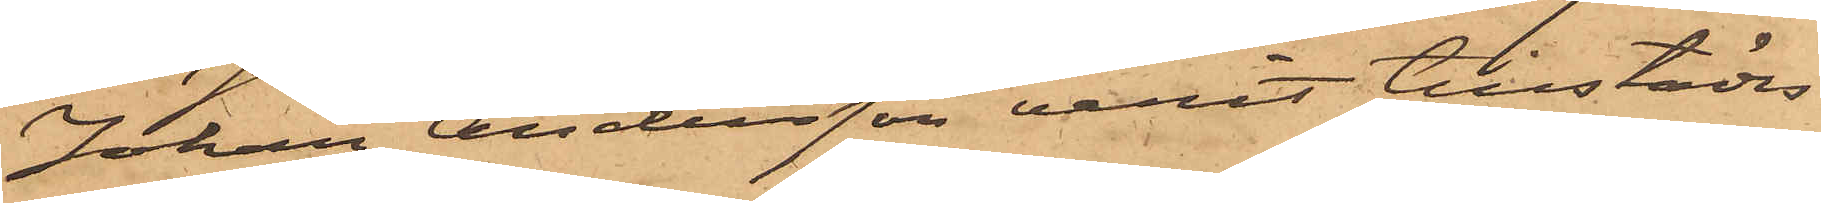Johan Andersson varit tillstädes
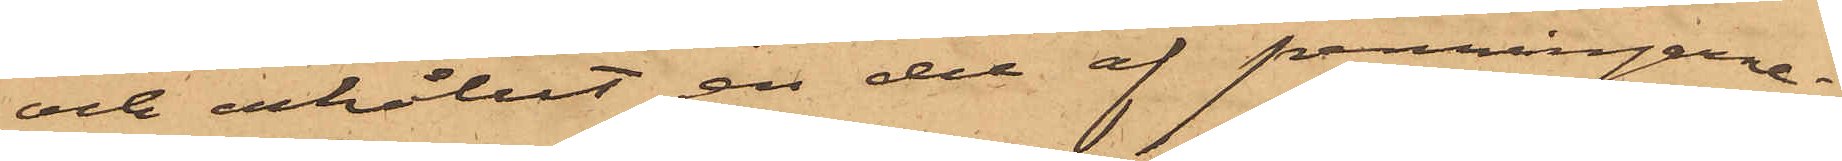och erhållit en del af penningarne;
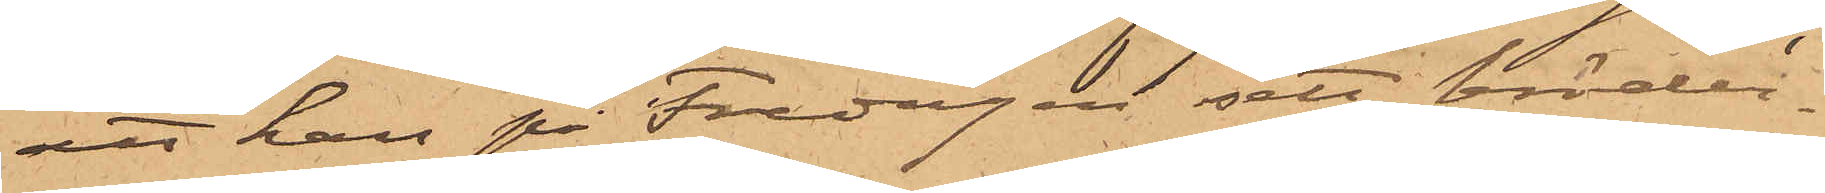att han på Fredagen sett bröder¬
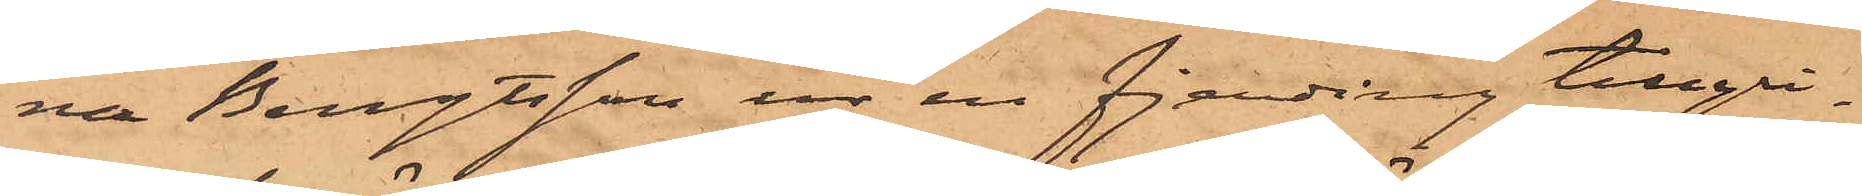na Bengtsson ur en fjerding tillgri¬
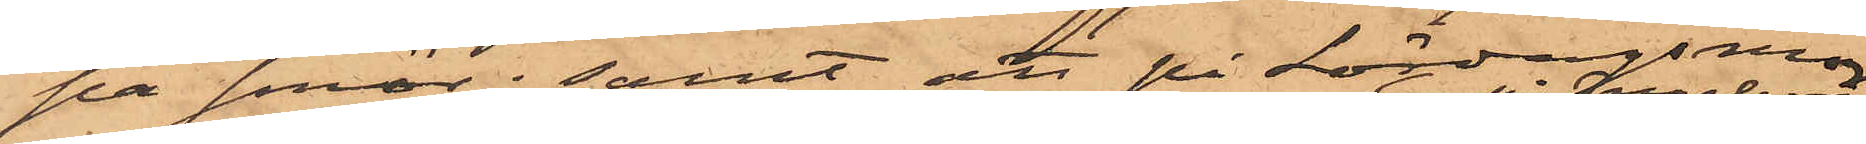pa smör; samt att på Lördagsmor¬
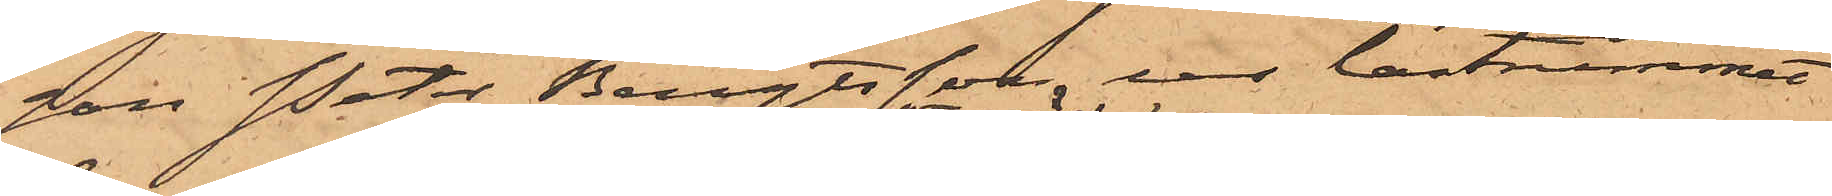gon Peter Bengtsson ur lastrummet
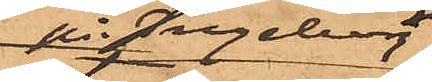på Ingeborg
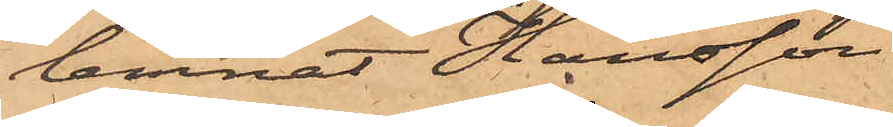lemnat Hansson
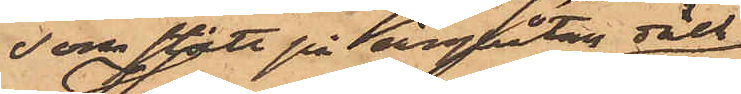som stått på ångbåtens däck
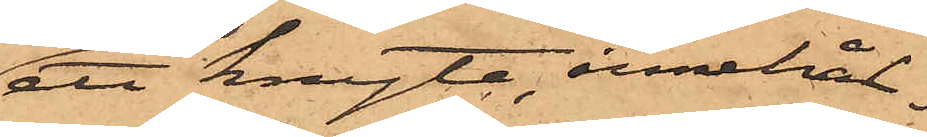ett knyte, innehål¬
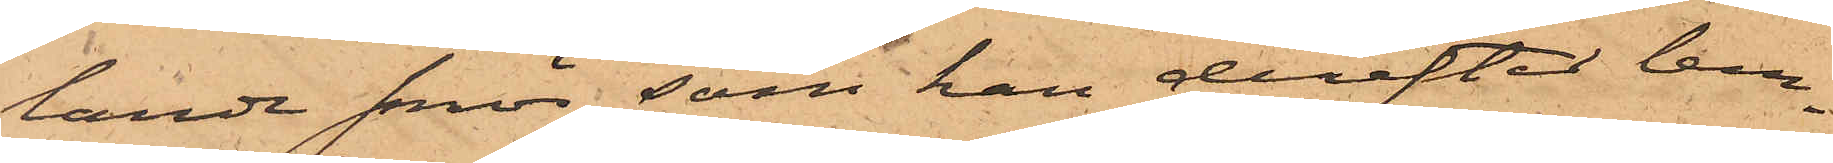lande smör, som han derefter lem¬
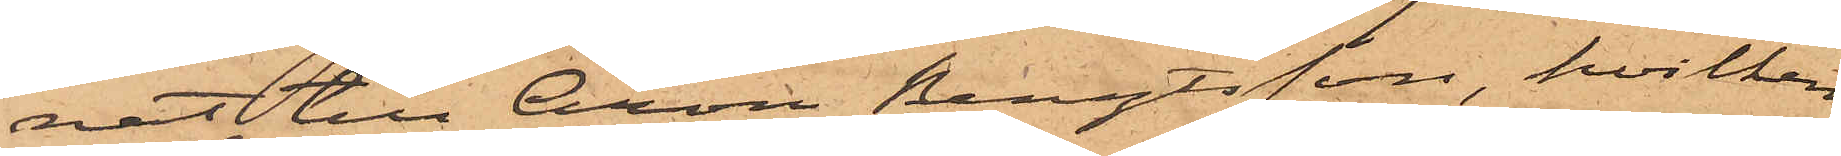nat till Aron Bengtsson, hvilken
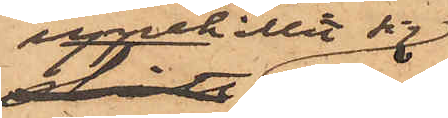uppehållit sig
